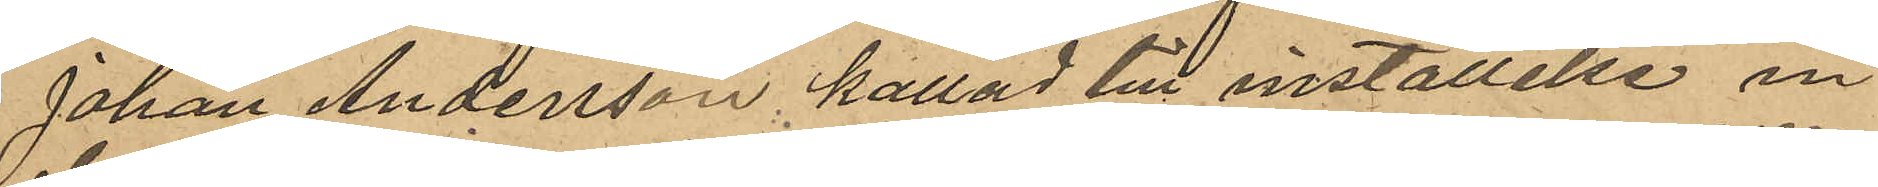Johan Andersson kallad till inställelse in¬
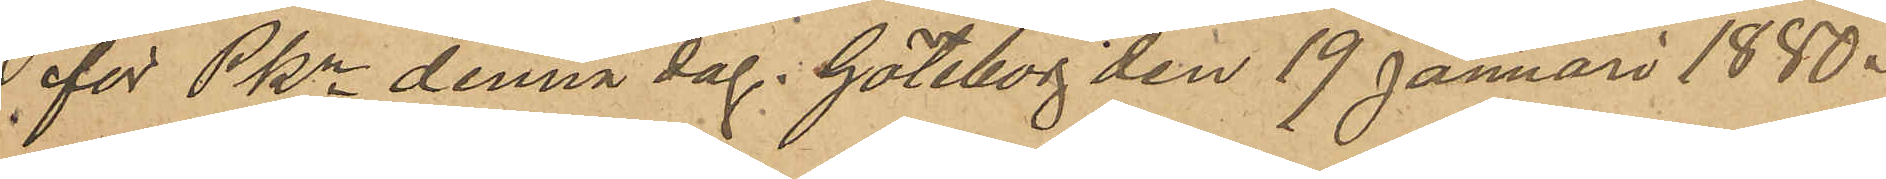för PKn denna dag. Göteborg den 19 Januari 1880.
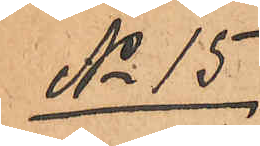No 15
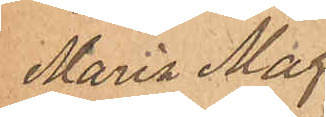Maria Mag¬
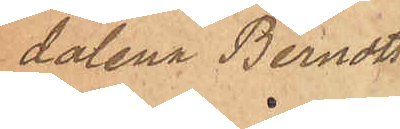dalena Berndts¬
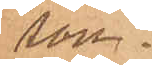son.
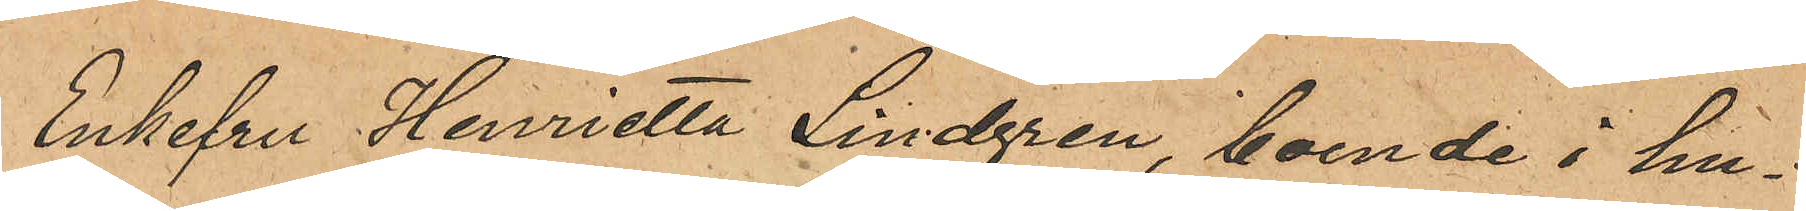Enkefru Henrietta Lindgren, boende i hu¬
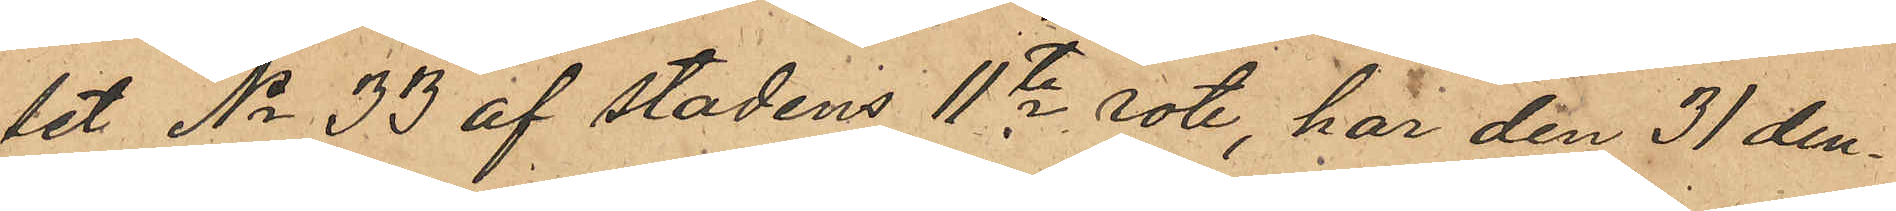set No 33 af stadens 11te rote, har den 31 den¬
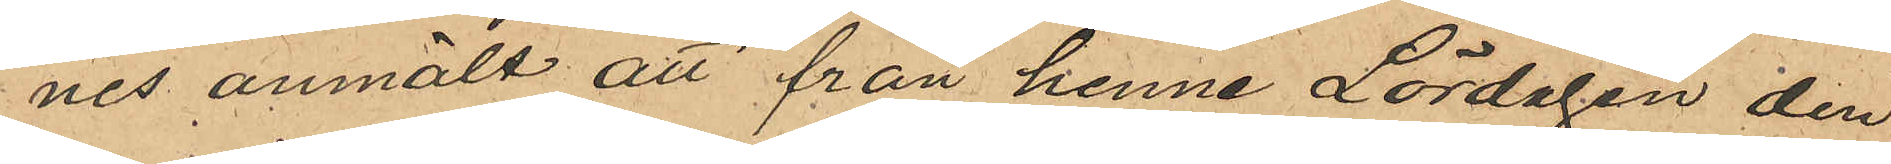nes anmält att från henne Lördagen den
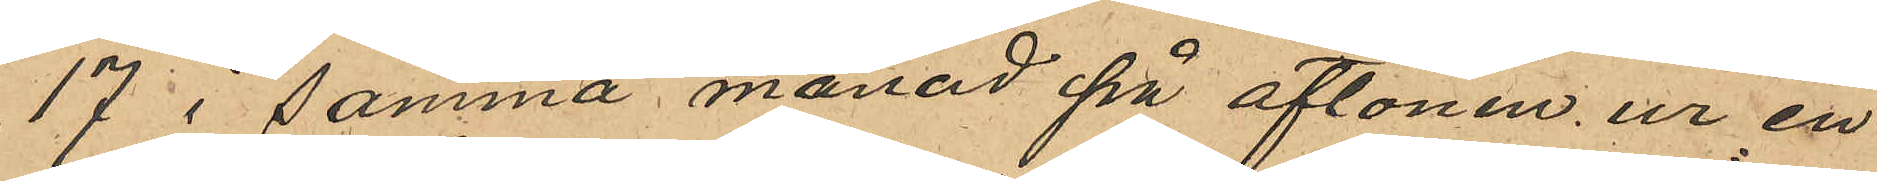17 i samma månad på aftonen ur en
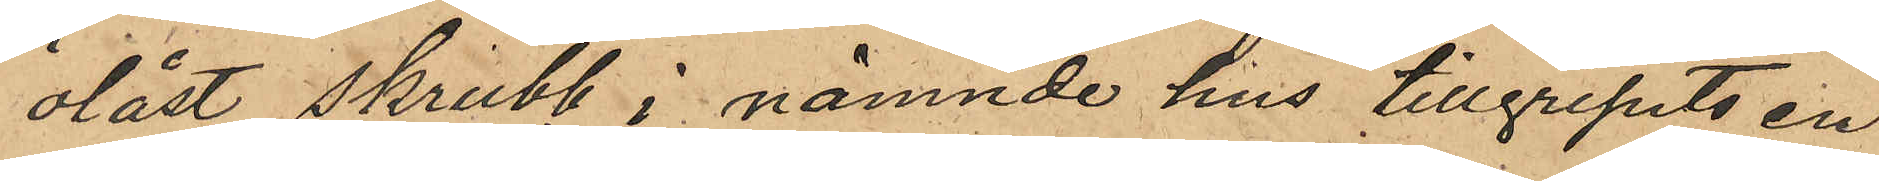olåst skrubb i nämnde hus tillgripits en
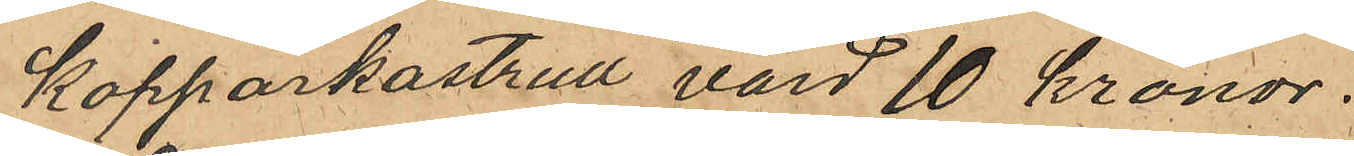kopparkastrull värd 10 kronor.
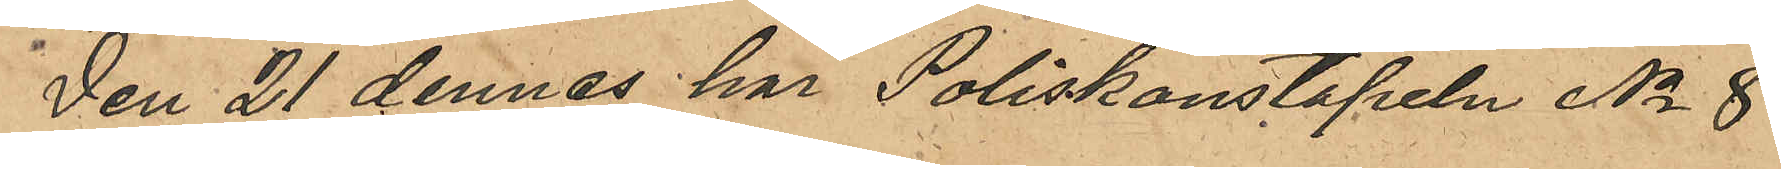Den 21 dennes har Poliskonstapeln No 8
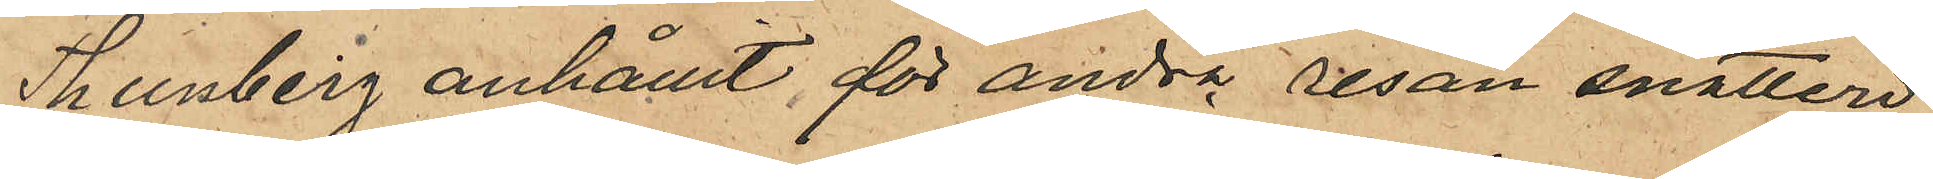Thunberg anhållit för andra resan snatteri
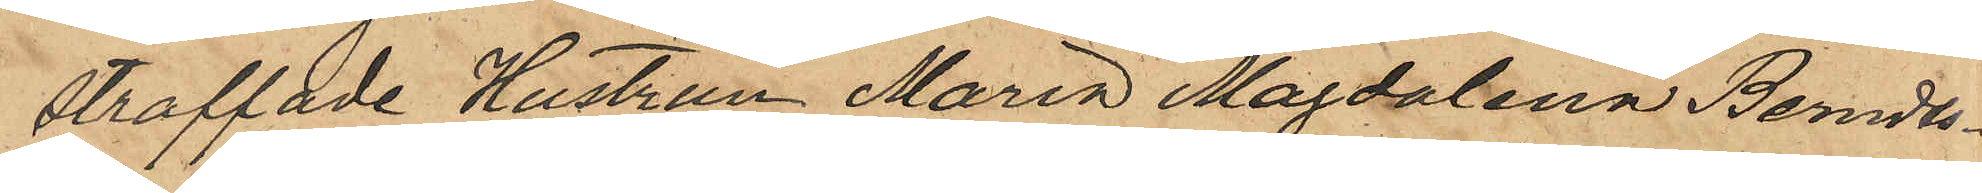straffade Hustrun Maria Magdalena Berndts¬
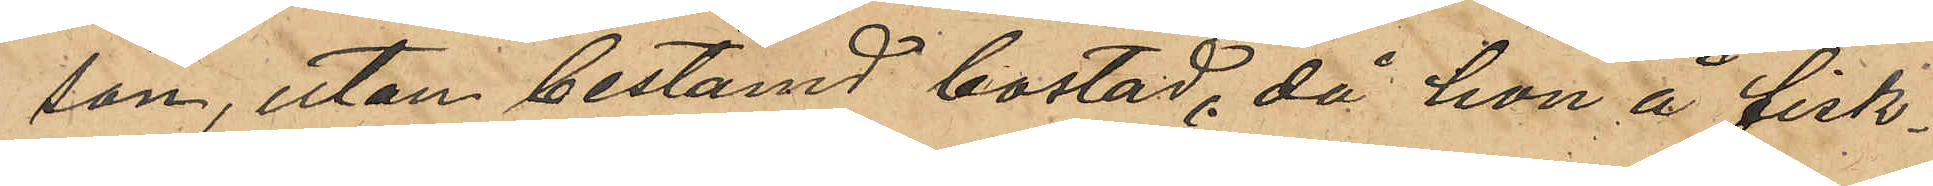son, utan bestämd bostad, då hon å fisk¬
